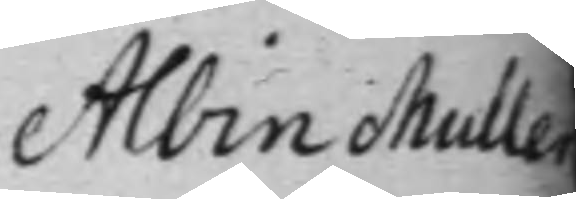Albin Muller
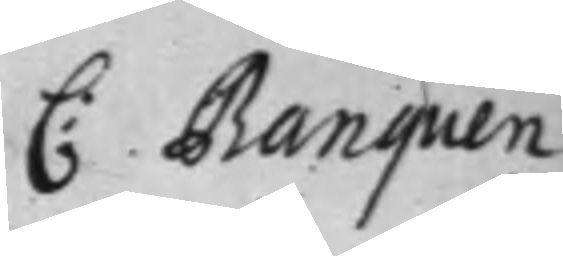C: Banquen
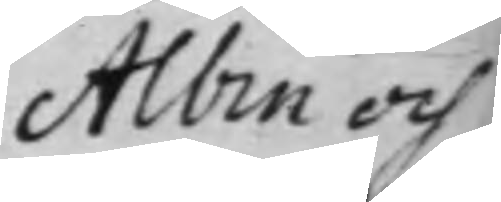Albin och
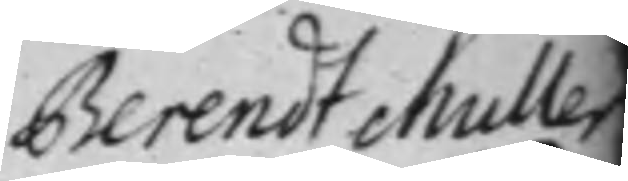Berendt Muller
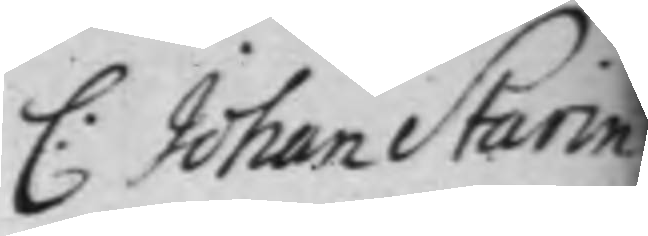C: Johan Starin
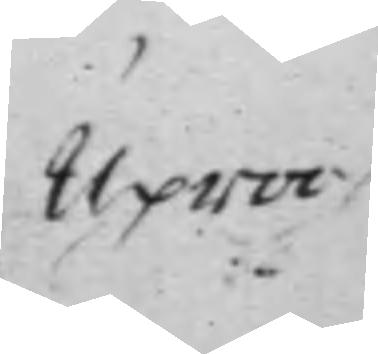Uproo
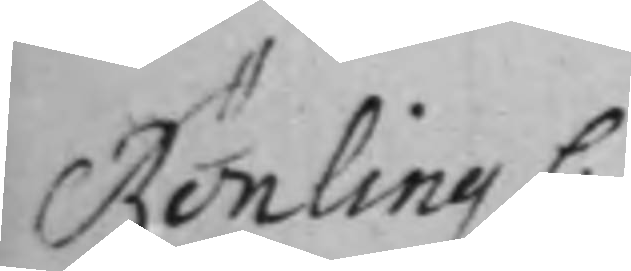Rönling C:
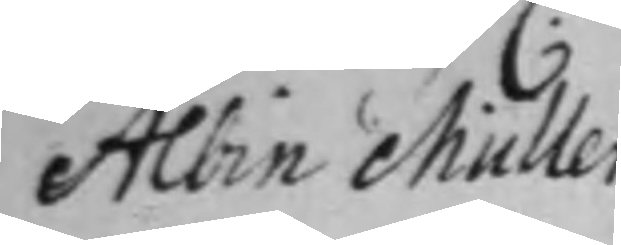Albin Müller
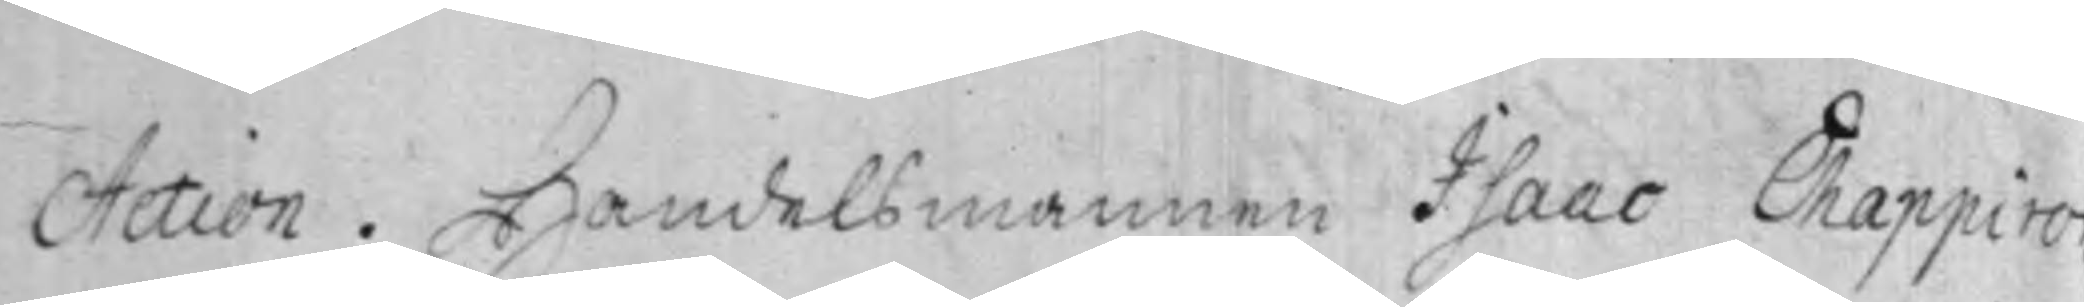Action. Handelsmannen Isaac Chappiro
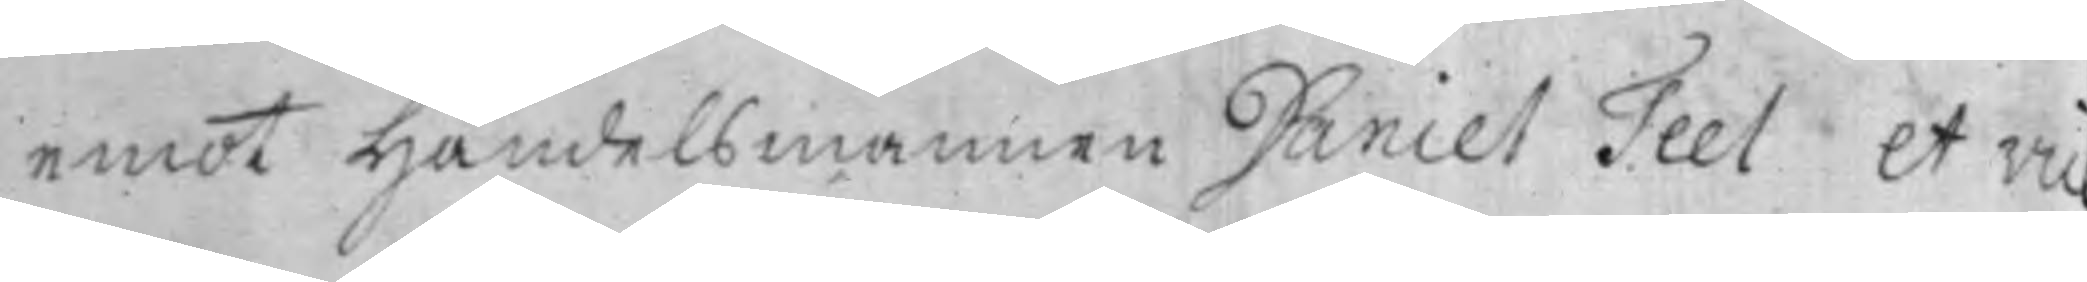emot Handelsmannen Daniel Teel et vic
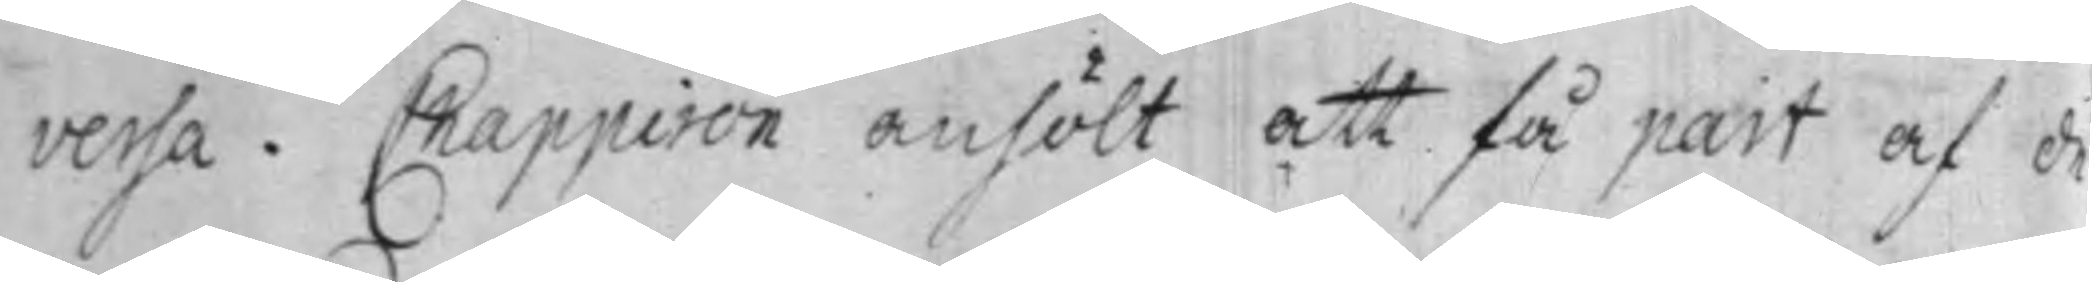versa. Chappiron anhölt att få part af de
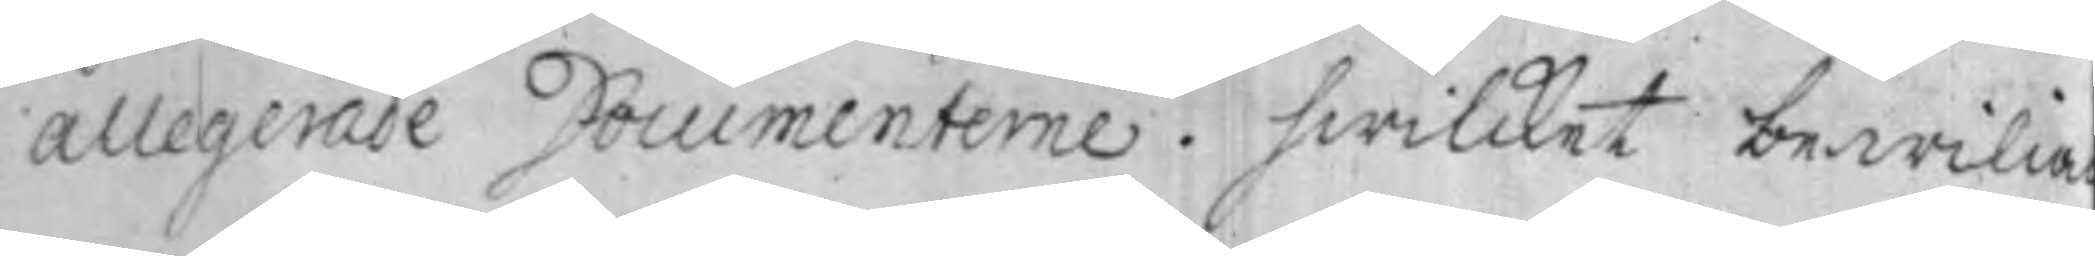allegerade Documenterne. hwilcket bewilia
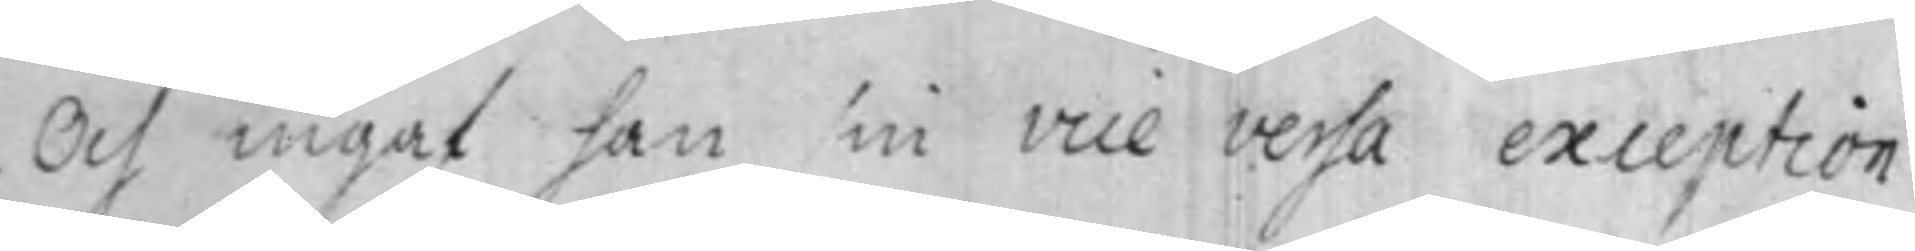Och ingaf han sin vice versa exception.
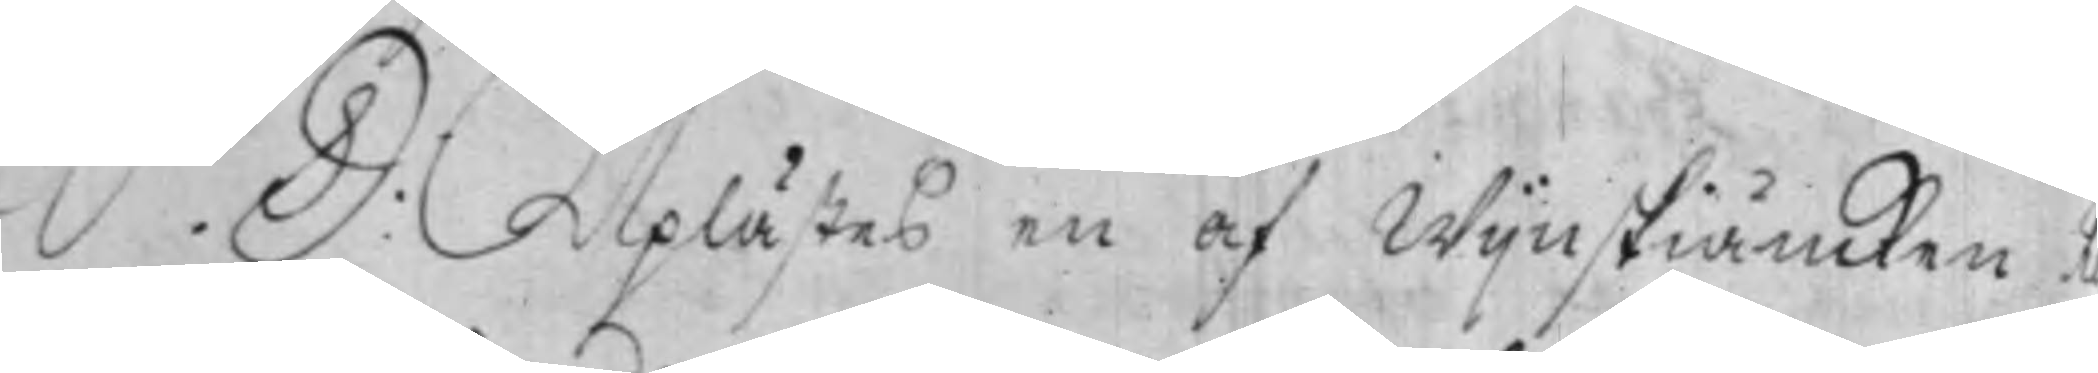S. D: Uplästes en af Wijnskiäncken R¬
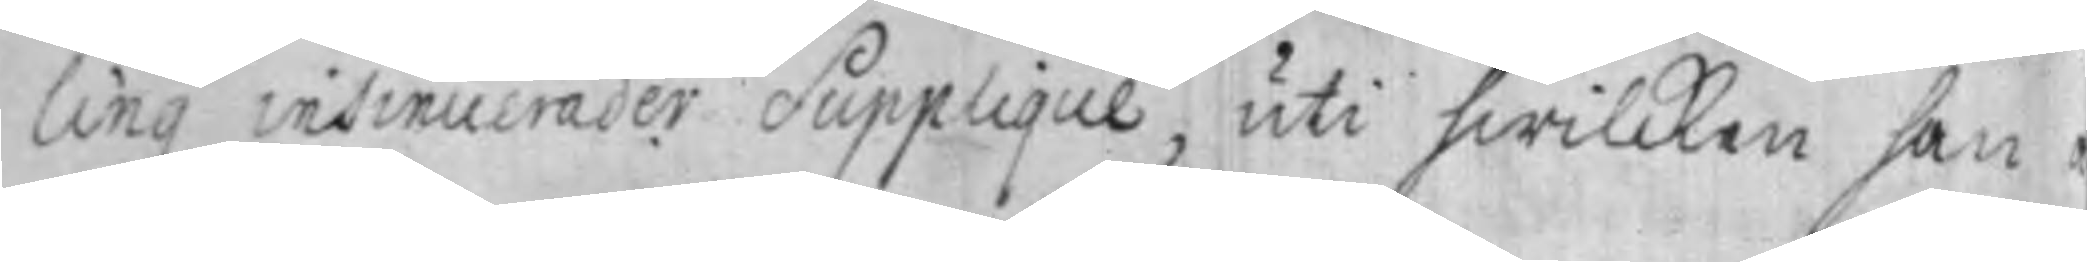ling insinuerader Supplique, uti hwilcken han 
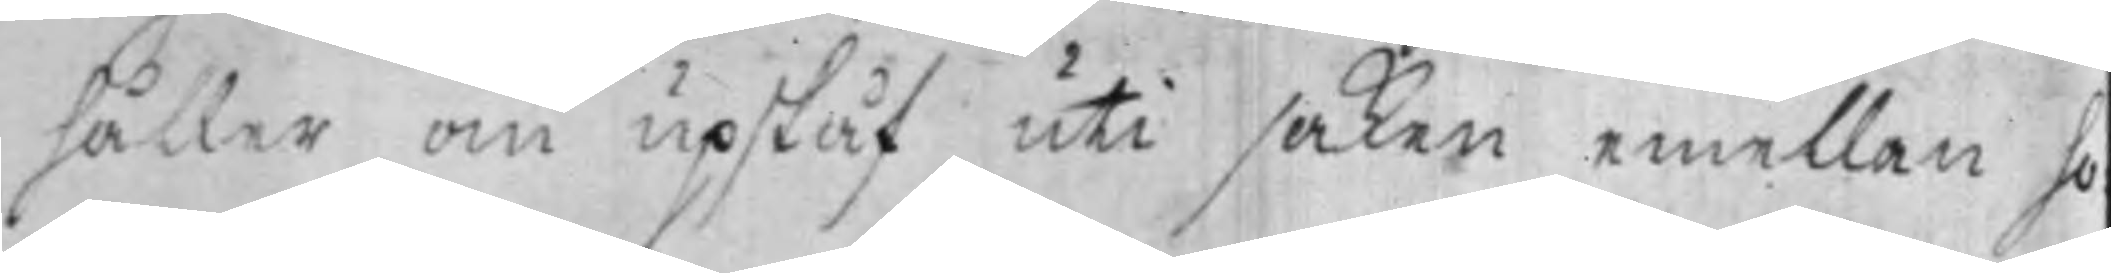håller om upskåf uti saken emellan ho¬
